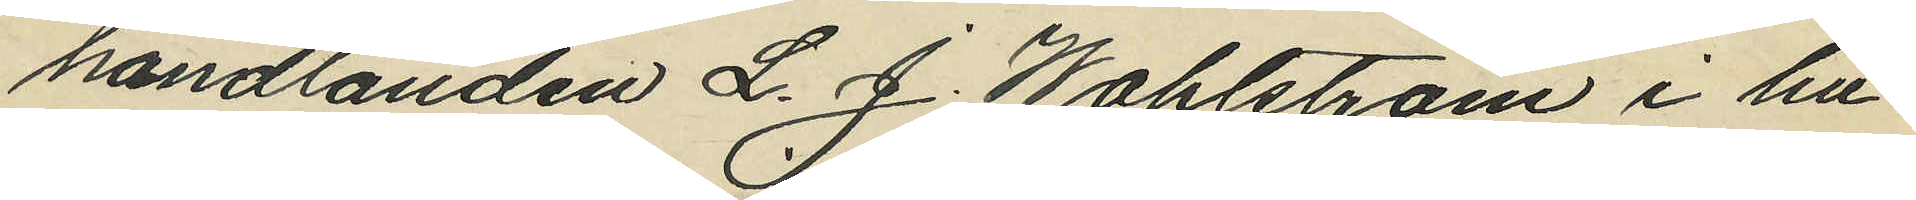handlanden L. J. Wahlström i hu¬
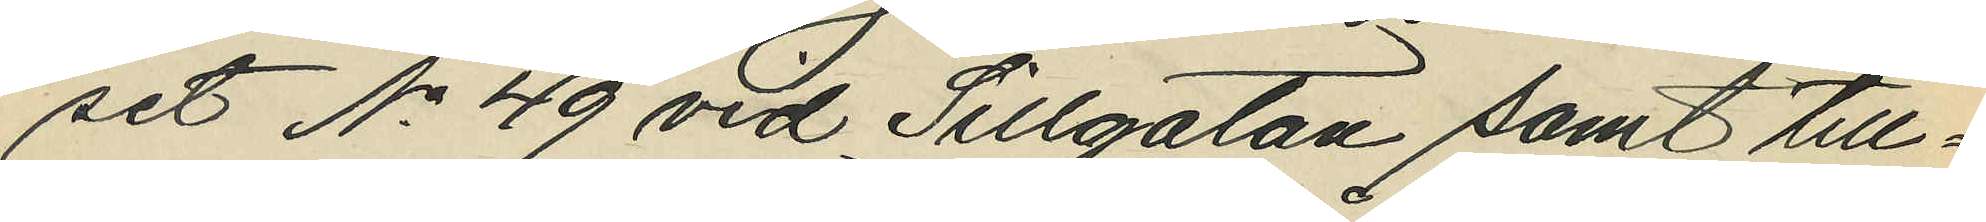set No 49 vid Sillgatan samt till¬
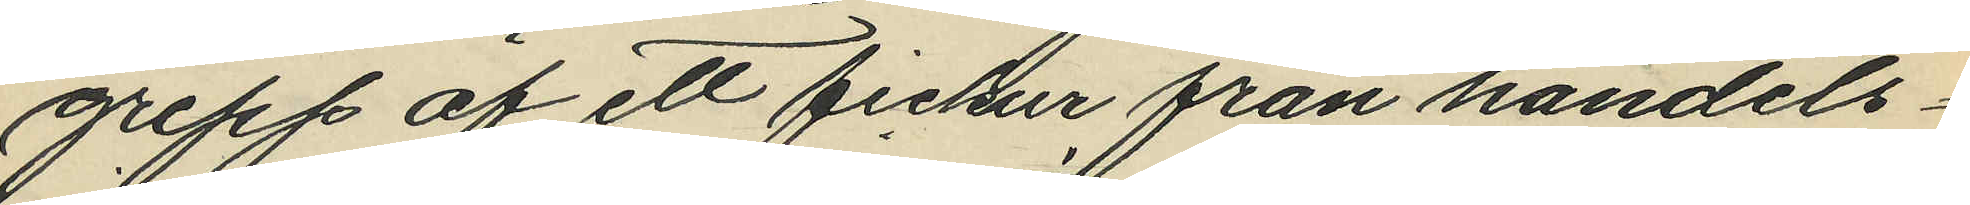grepp af ett fickur från handels¬
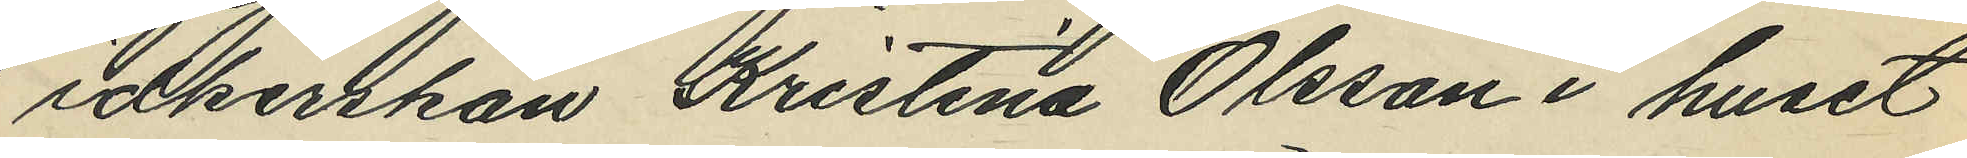idkerskan Kristina Olsson i huset
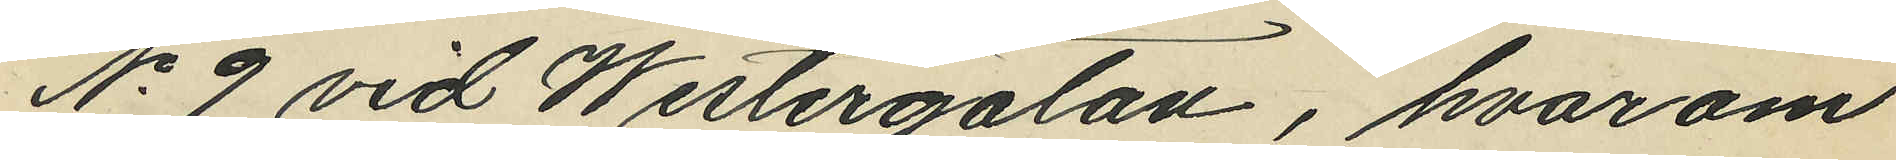No 9 vid Westergatan, hvarom
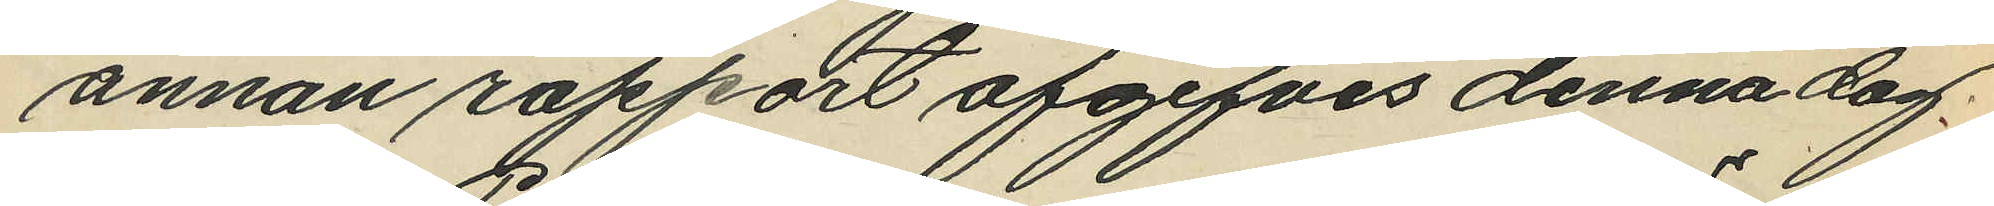annan rapport afgifves denna dag.
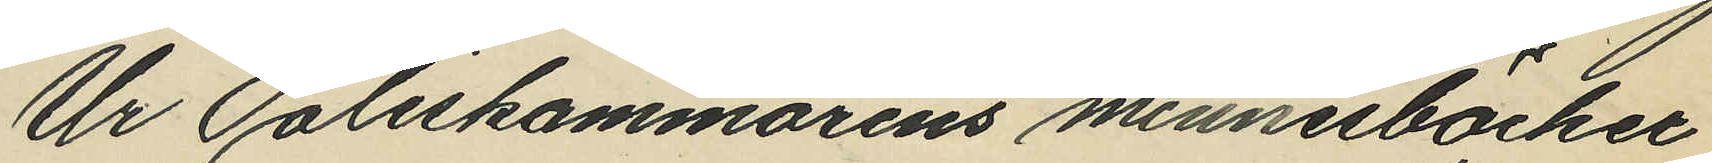Ur Poliskammarens minnesböcker
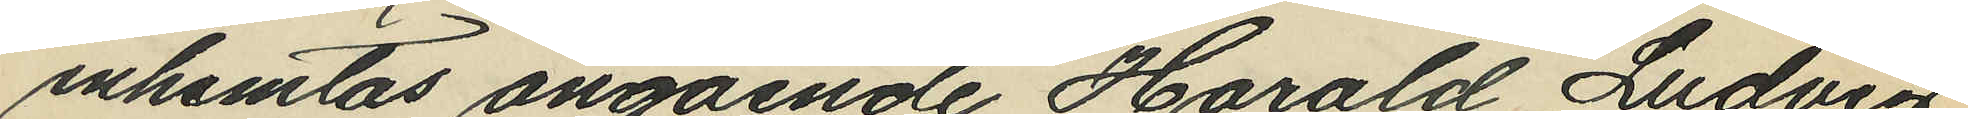inhemtas angående Harald Ludvig
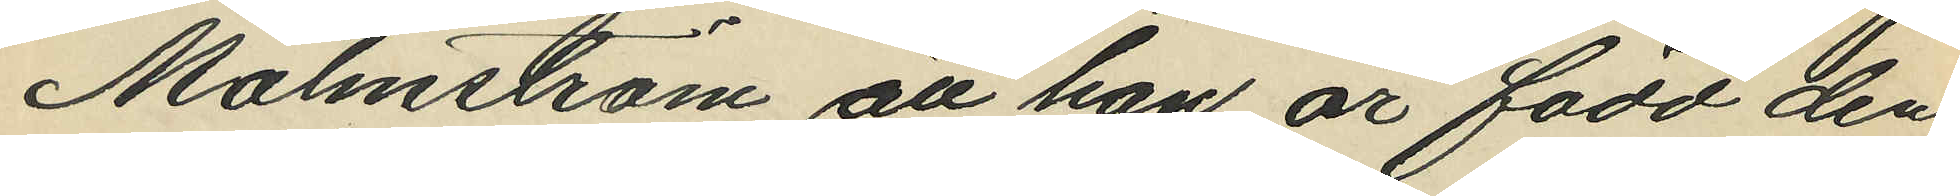Malmström, att han är född den
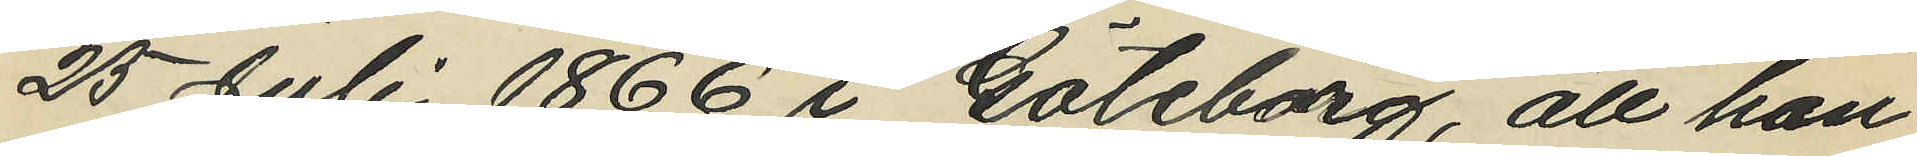25 Juli 1866 i Göteborg, att han
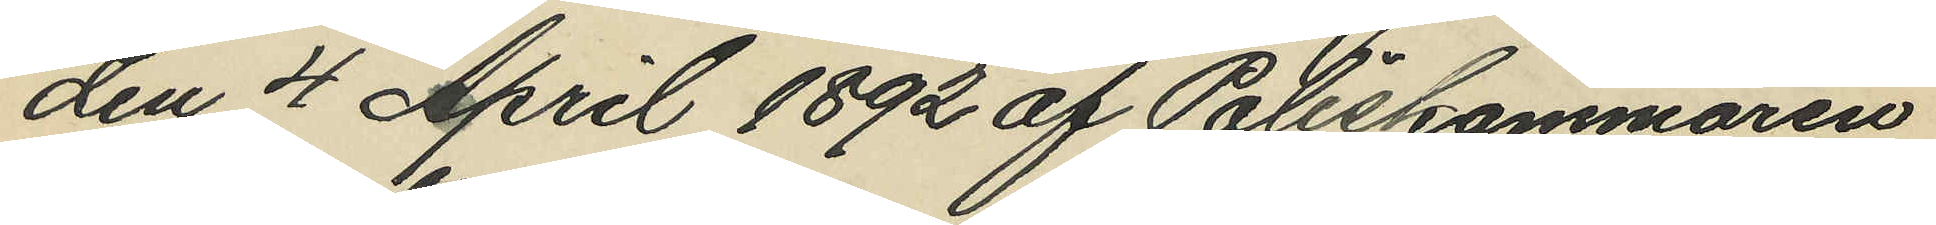den 4 April 1892 af Poliskammaren
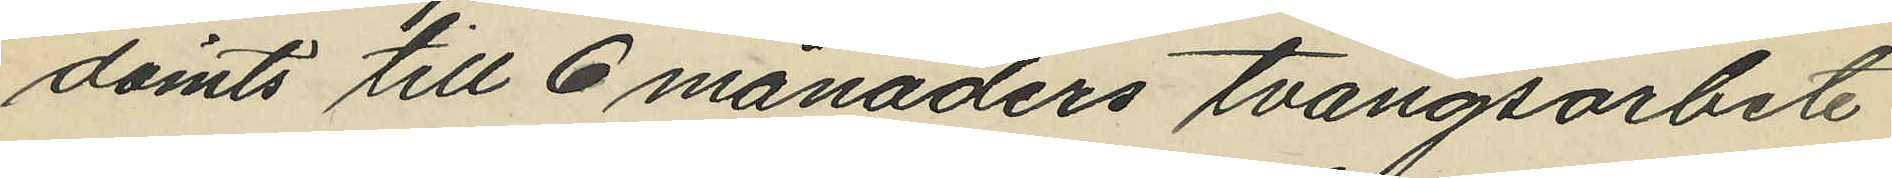dömts till 6 månaders tvångsarbete
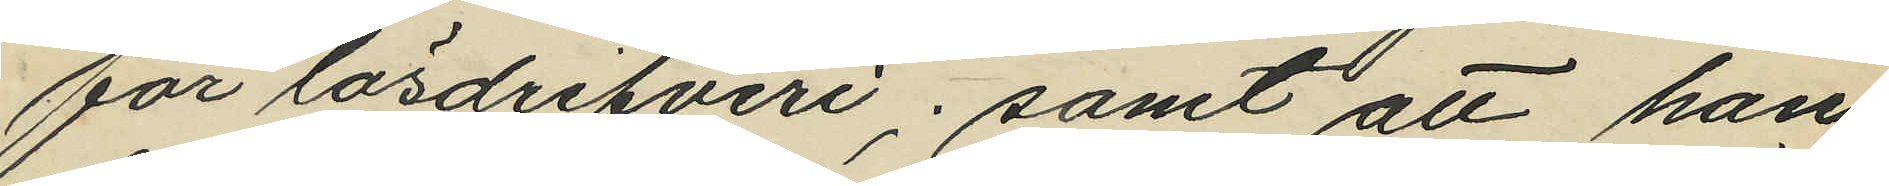för lösdrifveri; samt att han
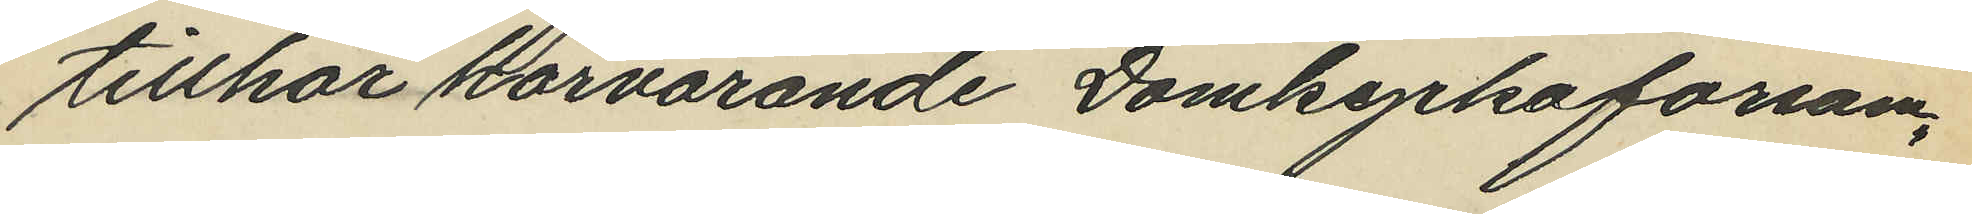tillhör härvarande Domkyrkoförsam¬
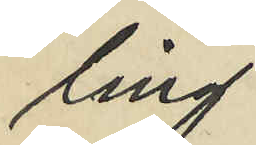ling.
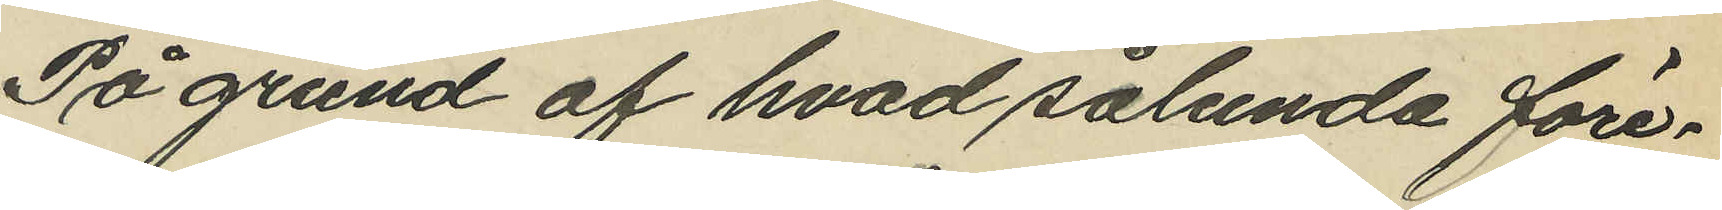På grund af hvad sålunda före¬
